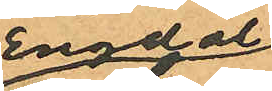Engdal
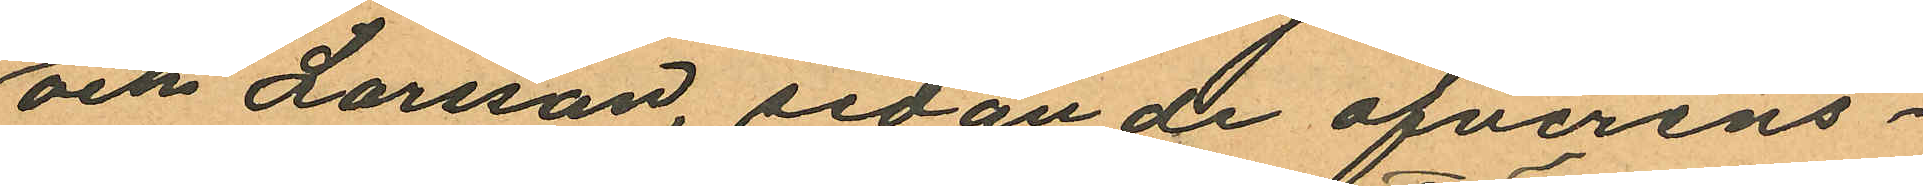och Larsson, sedan de öfverens¬
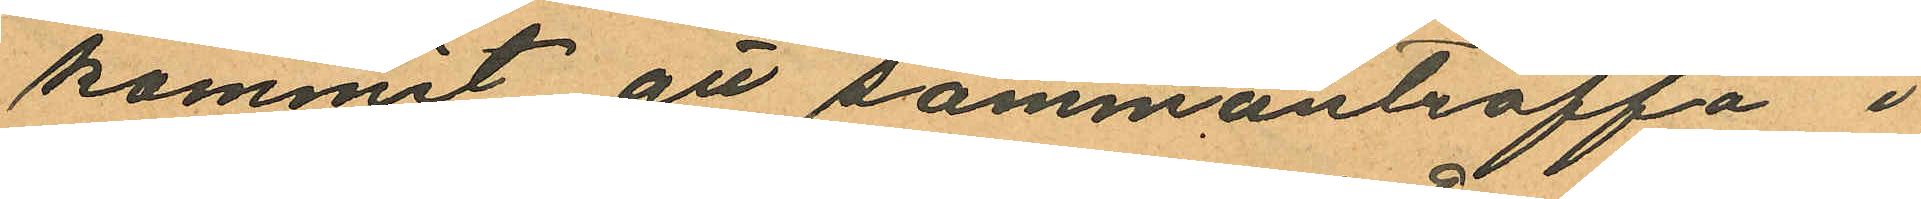kommit att sammanträffa i
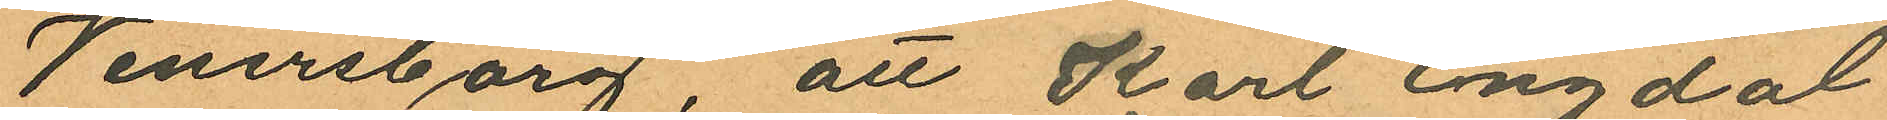Venersborg, att Karl Engdal
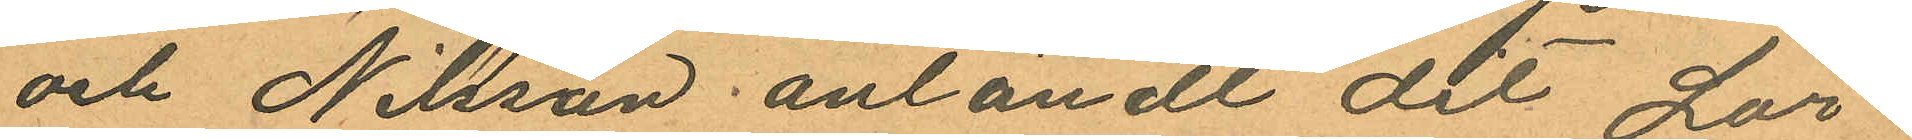och Nilsson anländt dit Lör¬
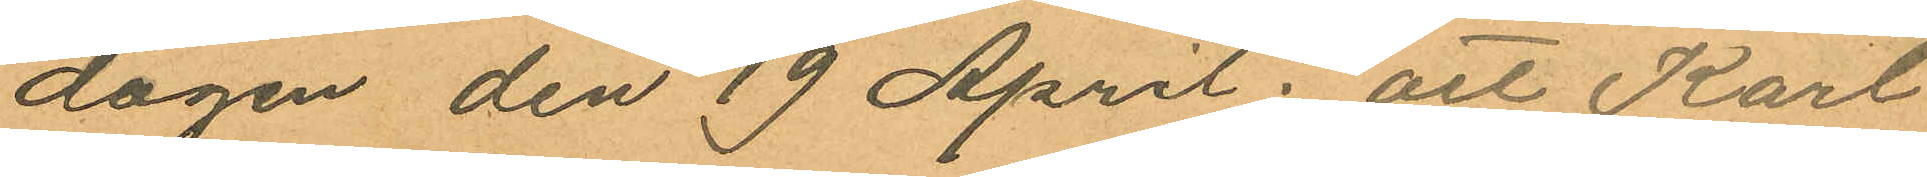dagen den 19 April; att Karl
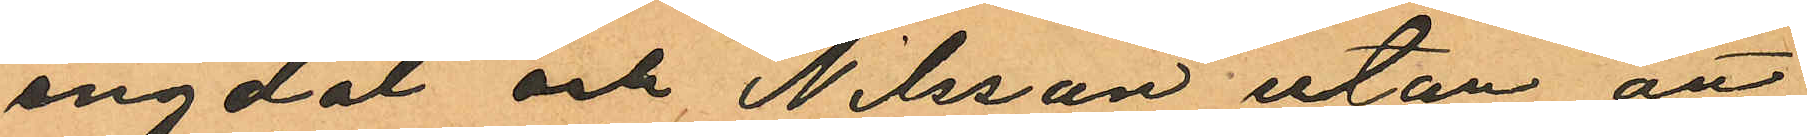engdal och Nilsson utan att
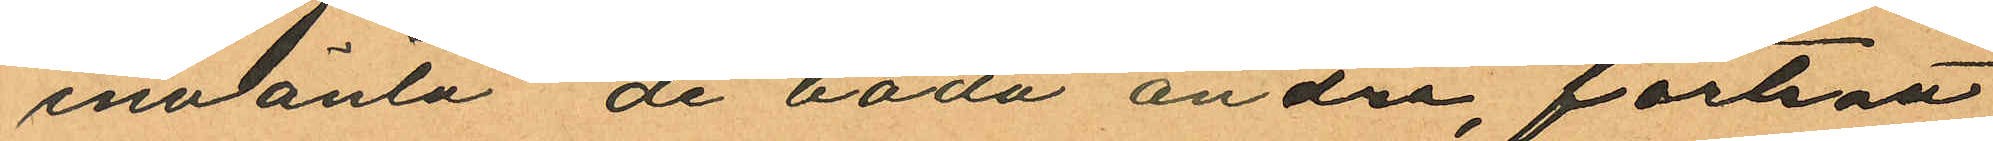invänta de båda andra fortsatt
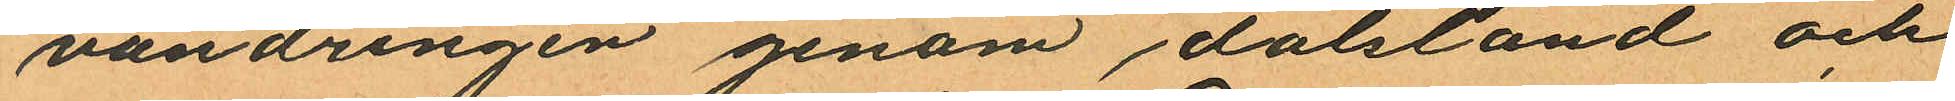vandringen genom dalsland och
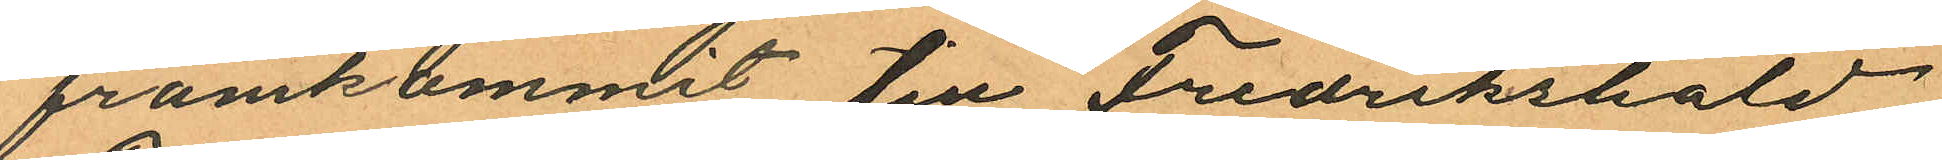framkommit till Fredrikshald
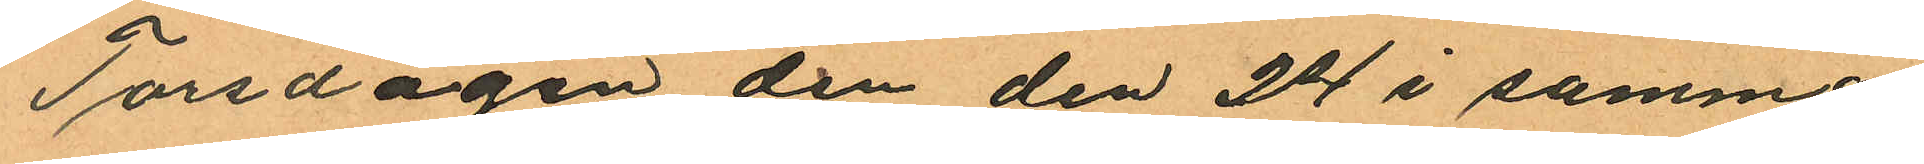Torsdagen den den 24 i samma
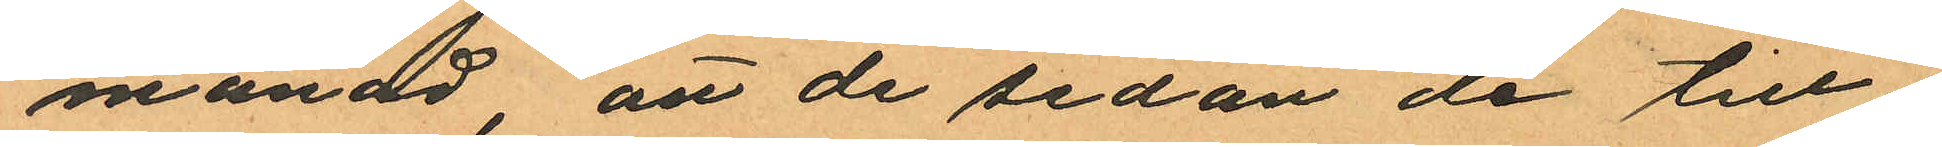månad, att de sedan de till
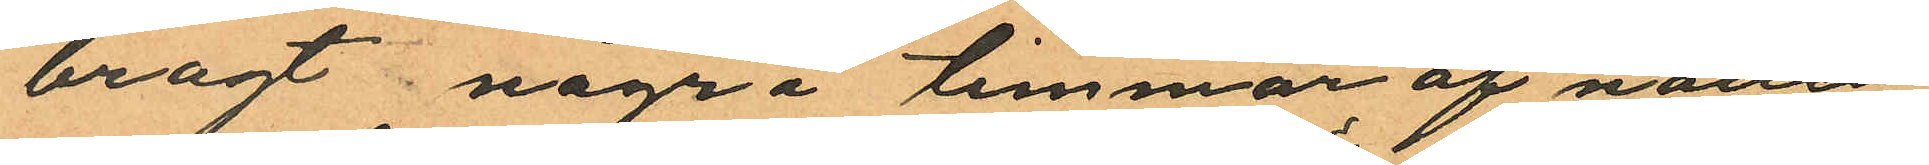bragt några timmar af natten
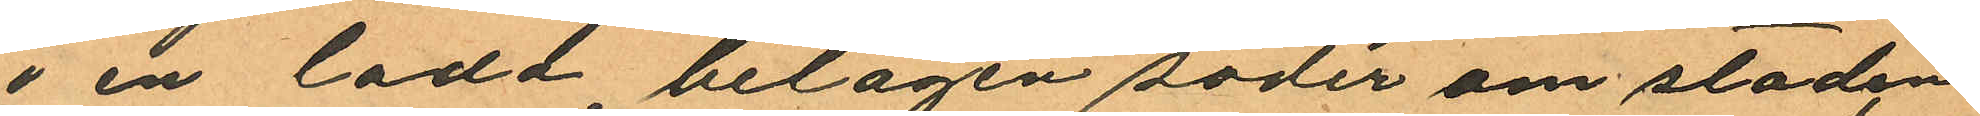i en lada belägen söder om staden
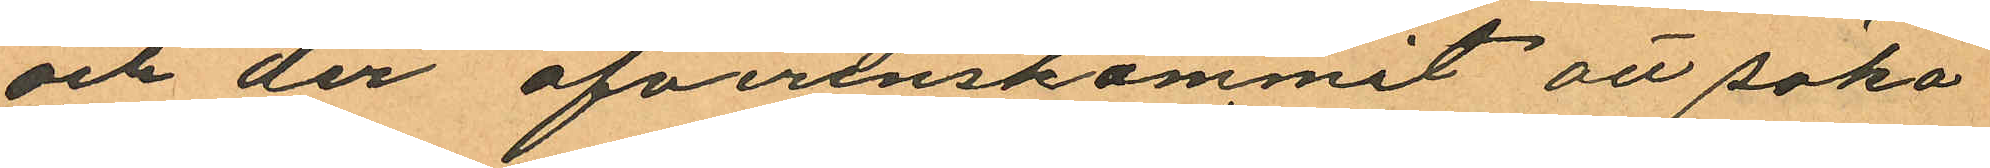och der öfverenskommet att söka
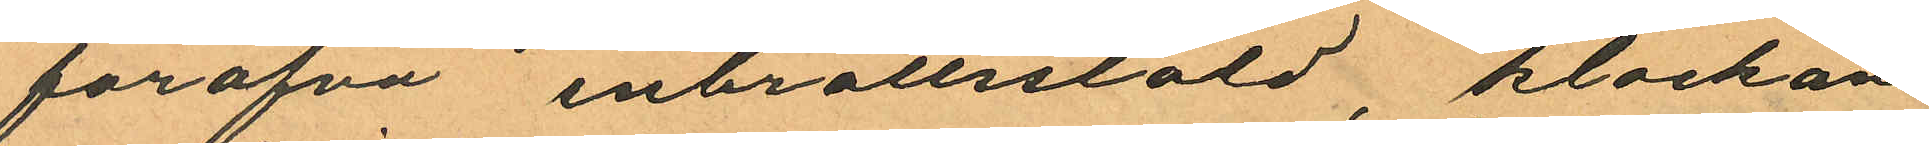föröfva inbrottsstöld, klockan
